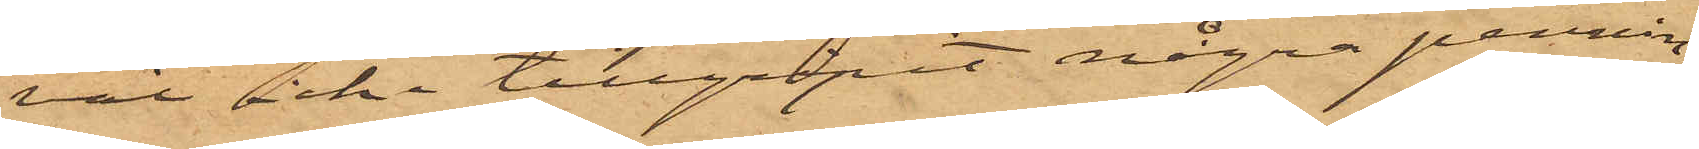väl icke tillgripit några pennin¬
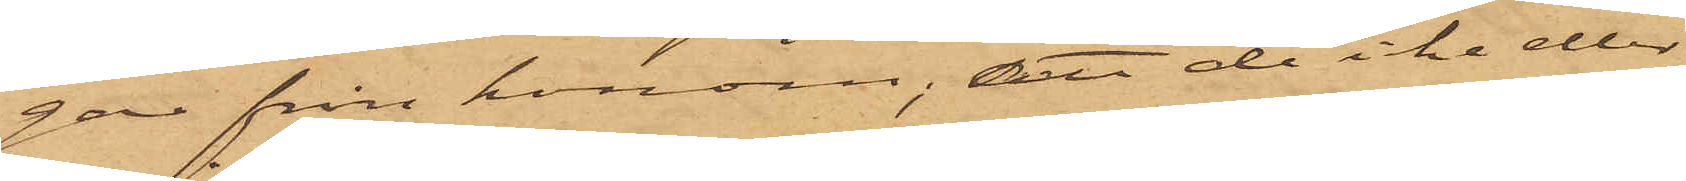gar från honom; att de icke eller
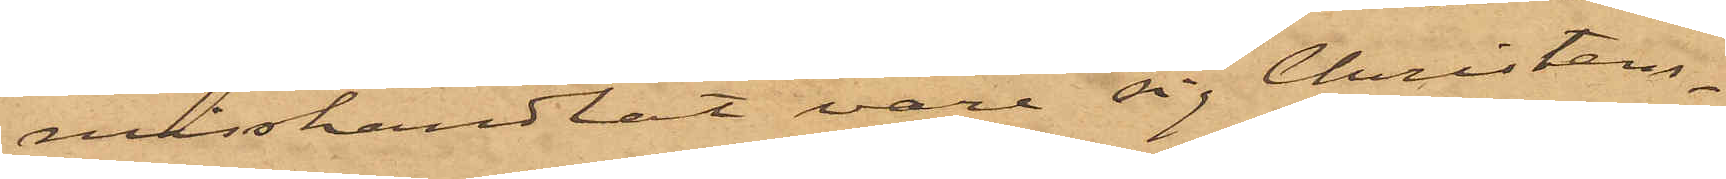misshandlat vare sig Christens¬
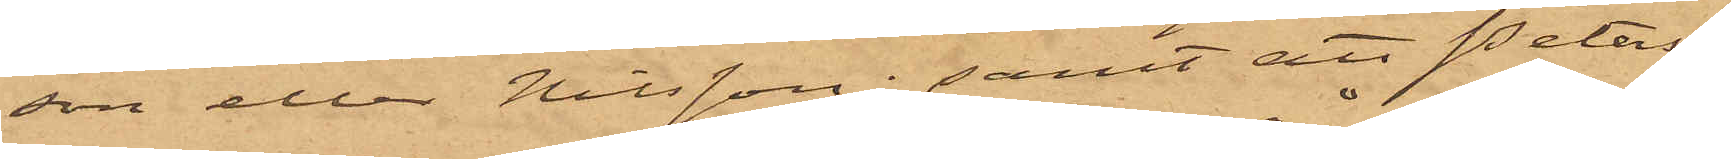son eller Nilsson; samt att Peters¬
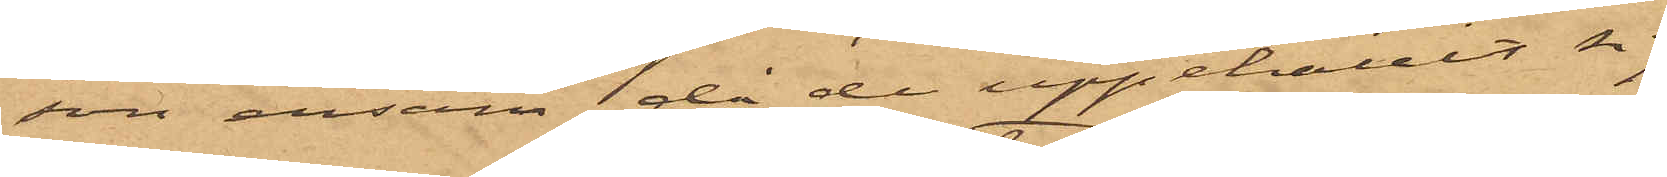son ensam, då de uppehållit sig
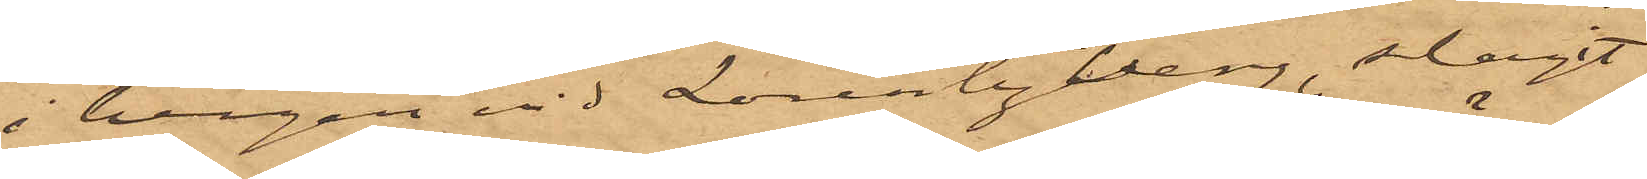i bergen vid Lorentzberg, slagit
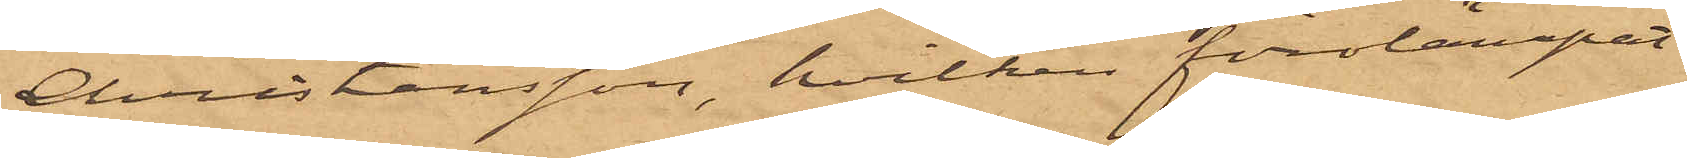Christensson, hvilken förolämpat
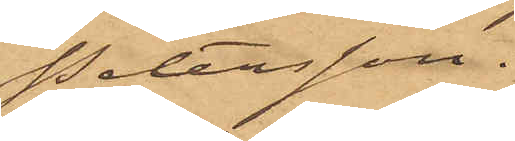Petersson.
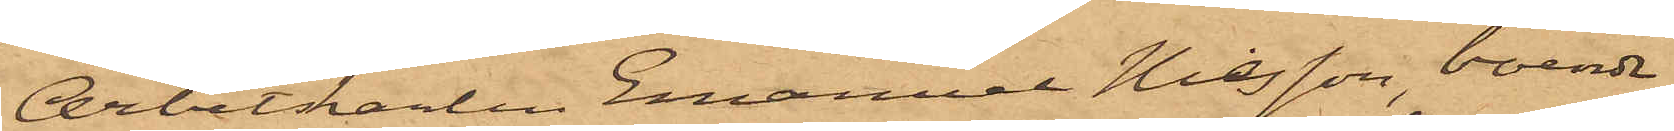Arbetskarlen Emanuel Nilsson, boende
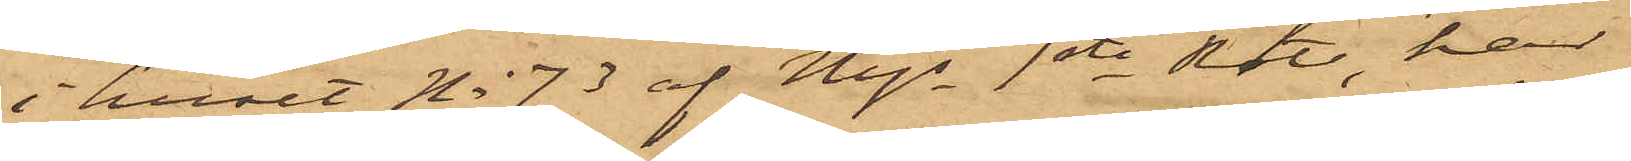i huset No 73 af Majs 1ste Rote, har
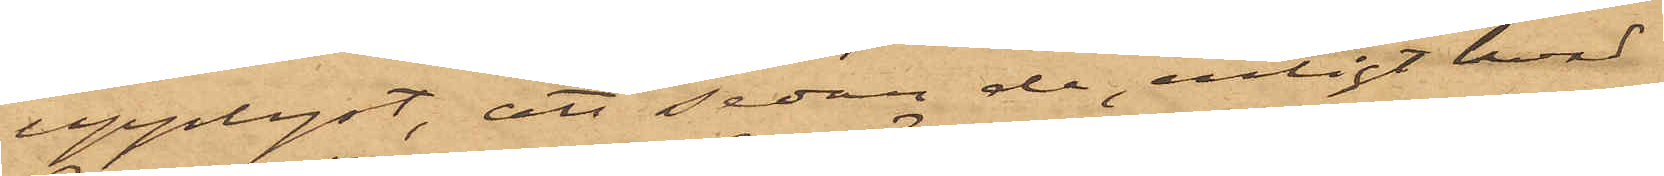upplyst, att sedan de, enligt hvad
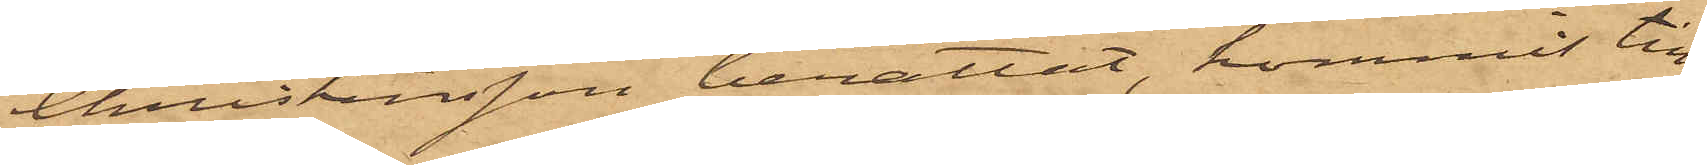Christensson berättat, kommit till
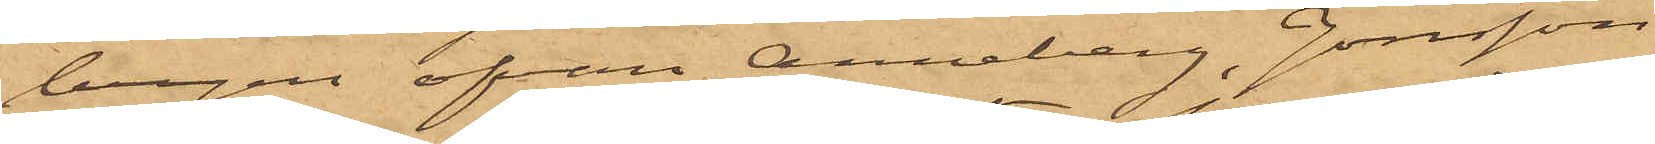bergen ofvan Anneberg, Jonsson
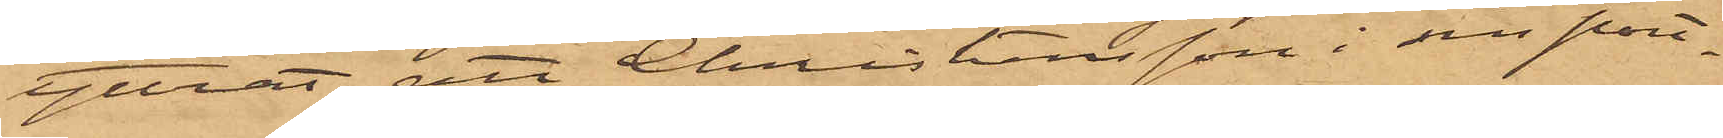yttrat att Christensson i sin port¬
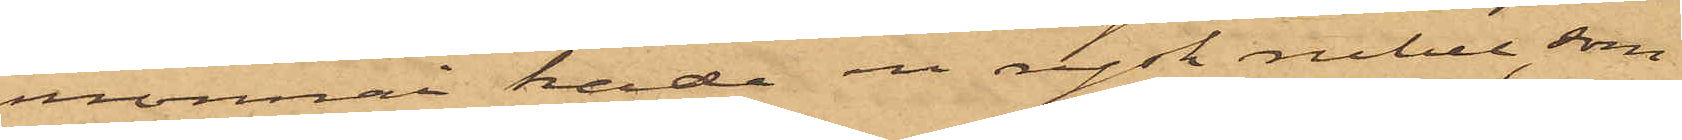monnai hade en rysk rubel, som
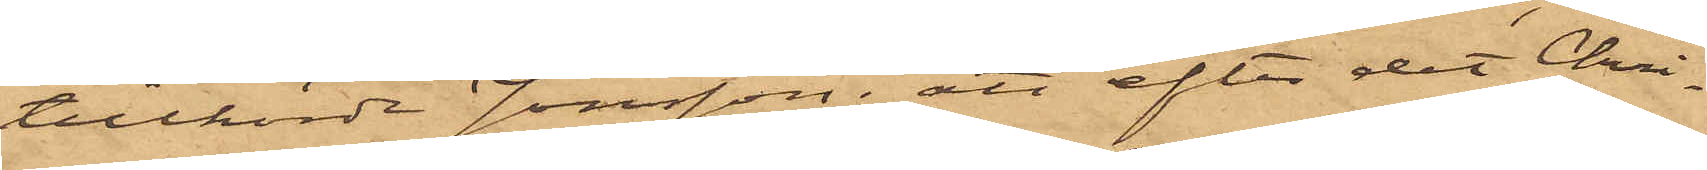tillhörde Jonsson; att efter det Chri¬
